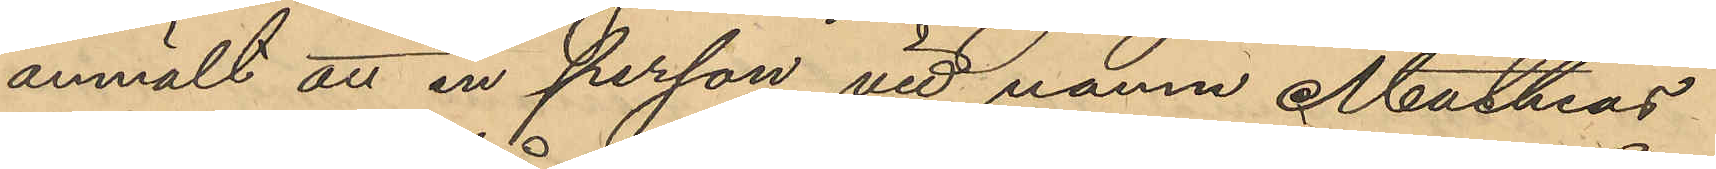anmält att en person vid namn Mathias
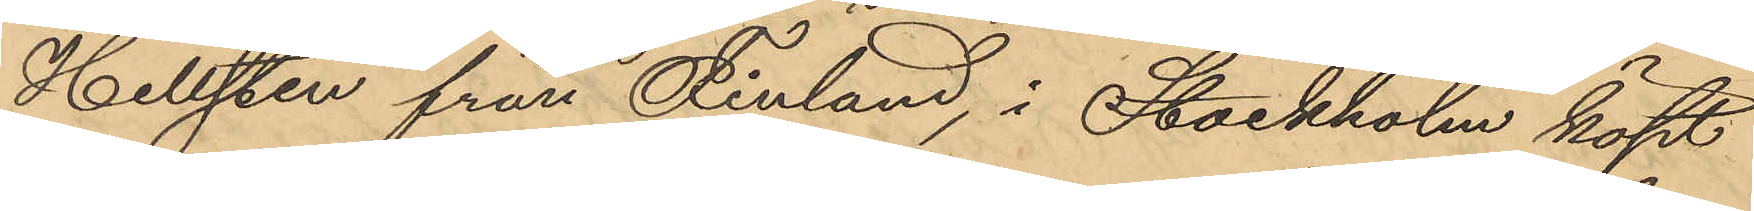Hellsten från Finland, i Stockholm köpt
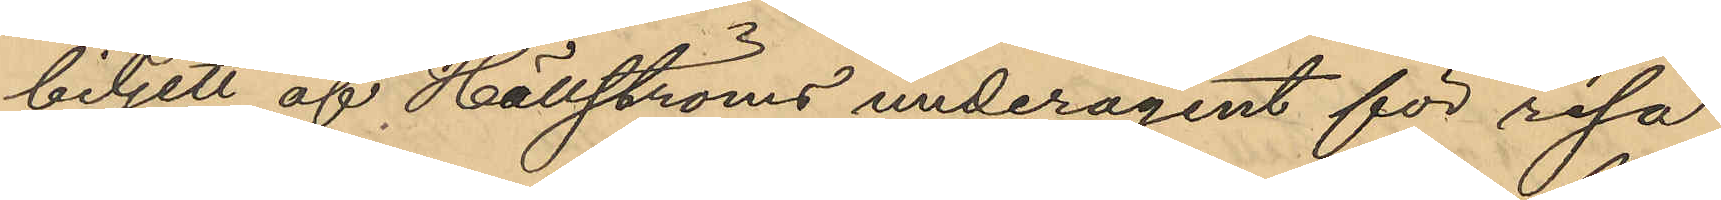biljett af Hällströms underagent för resa
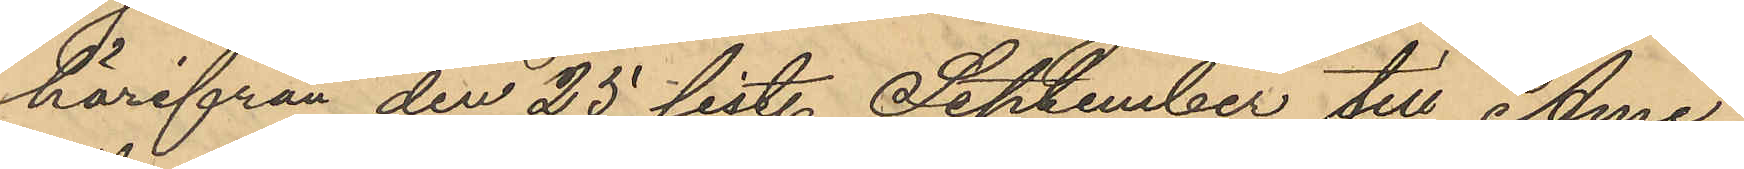härifrån den 25 sist. September till Ame¬
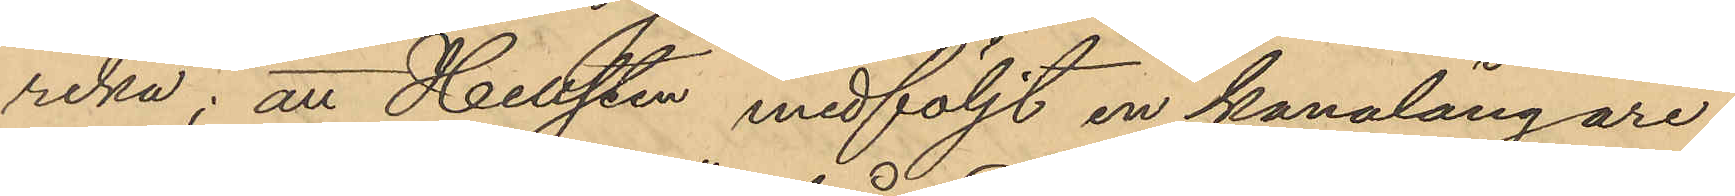rika; att Hellsten medföljt en kanalångare
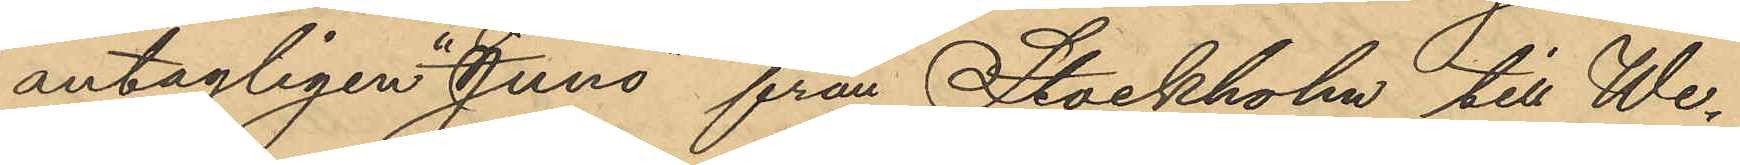antagligen "Juno" från Stockholm till We¬
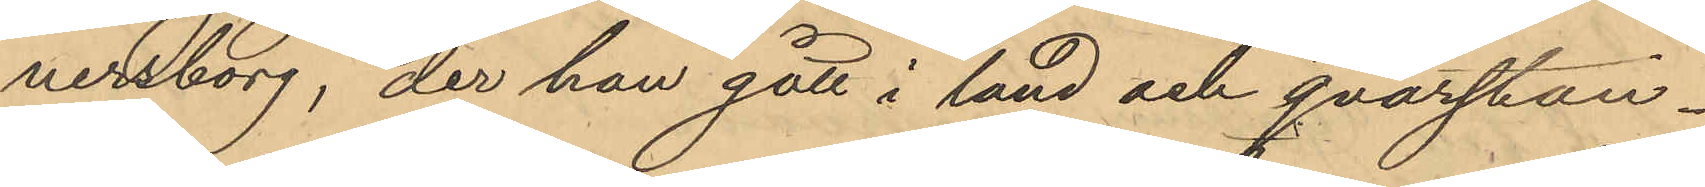nersborg, der han gått i land och qvarstan¬
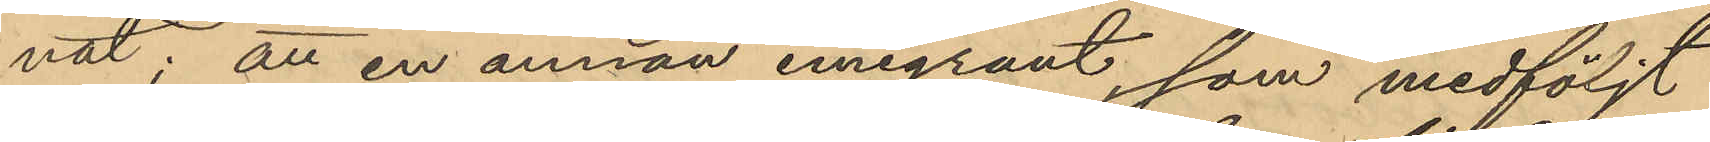nat; att en annan emigrant, som medföljt
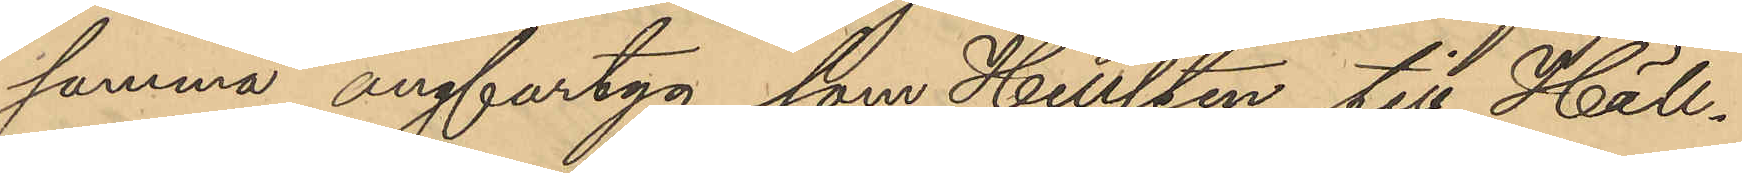samma ångfartyg, som Hellsten till Häll¬
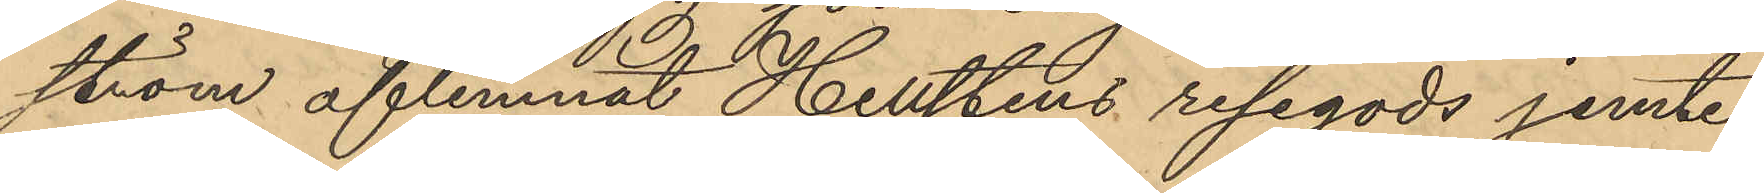ström aflemnat Hellstens resegods jemte
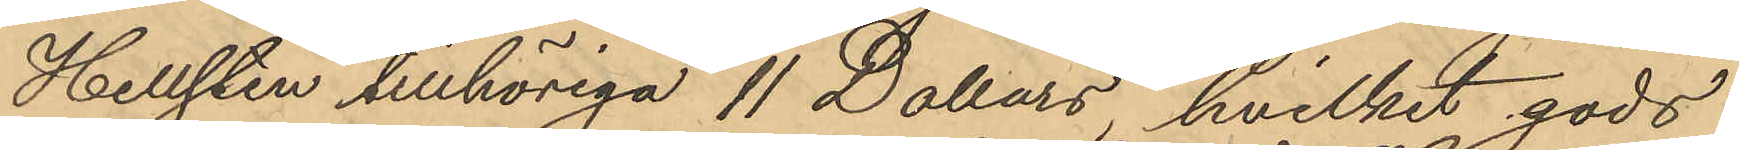Hellsten tillhöriga 11 Dollars, hvilket gods
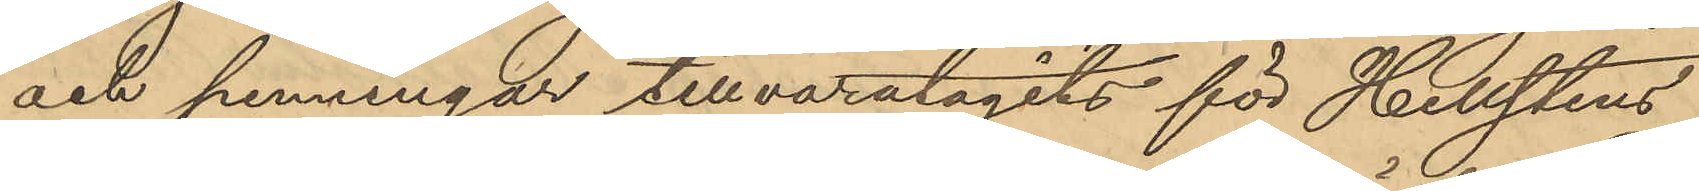och penningar tillvaratagits för Hellstens
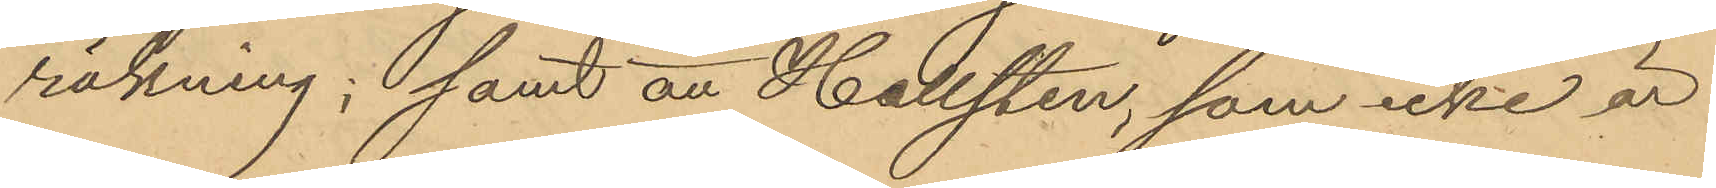räkning; samt att Hellsten, som icke är
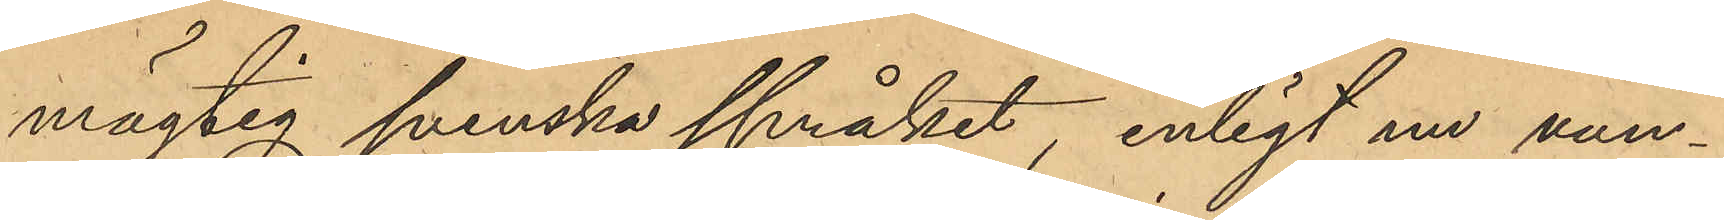mägtig svenska språket, enligt nu vun¬
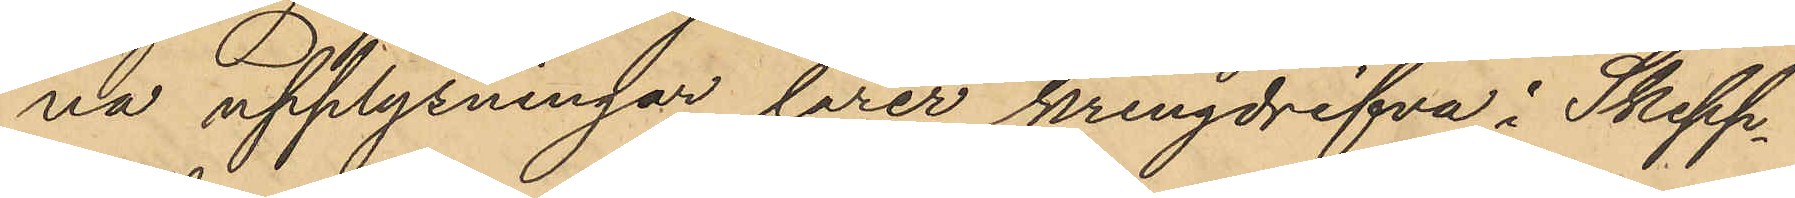na upplysningar lärer kringdrifva i Skepp¬
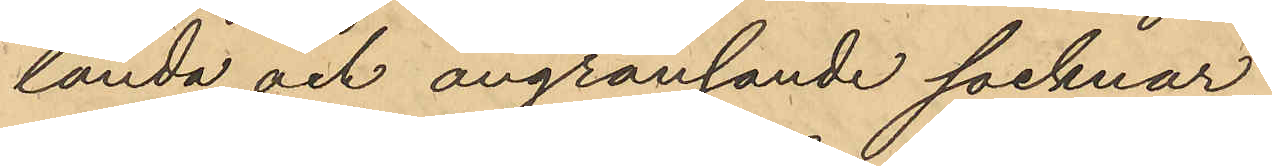landa och angränsande socknar.
